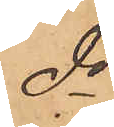do
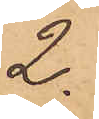2.
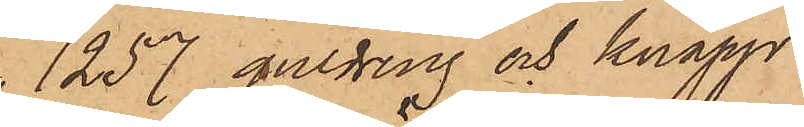1257 guldring och knapp
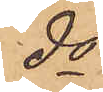do
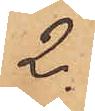2.
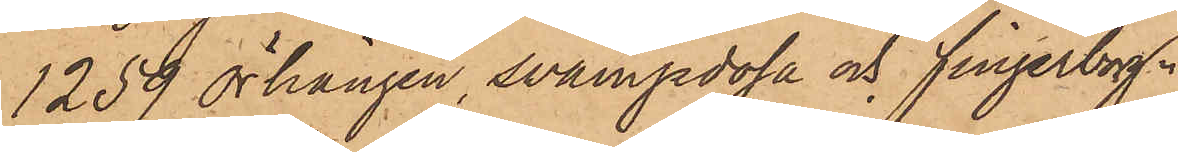1259 örhängen, svampdosa och fingerborg "
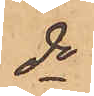do
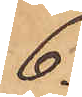6.
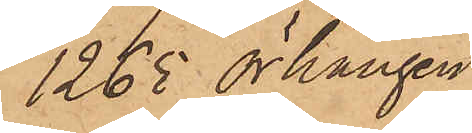1263 örhängen
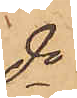do
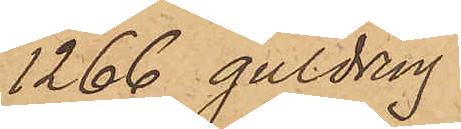1266 guldring
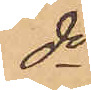do
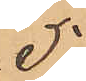5
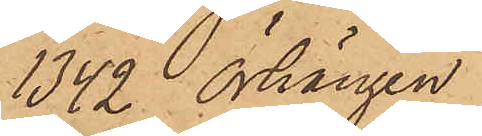1342 Örhängen
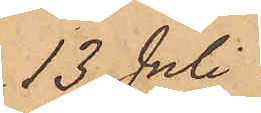13 Juli
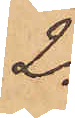2.
